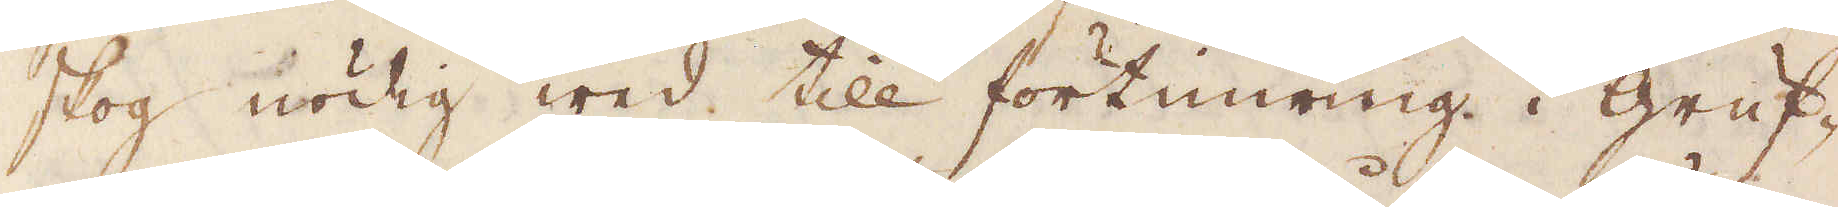skog nödig wed till förtunning i gruf-
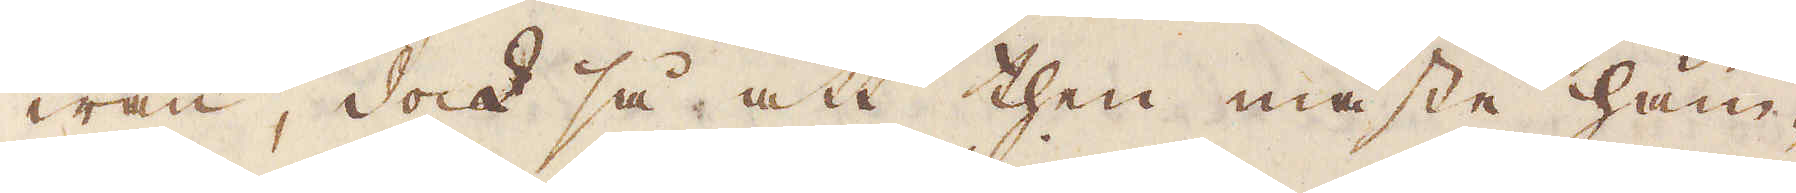wan, dock så att then måste häm-
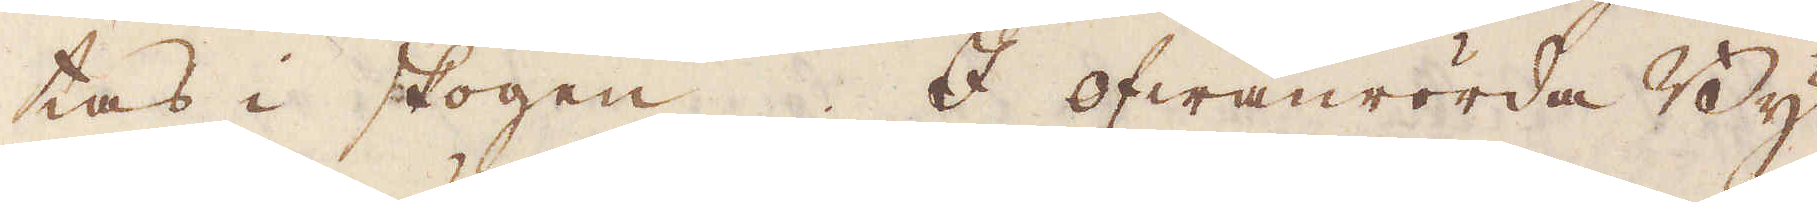tas i skogen. I ofwanrörda By
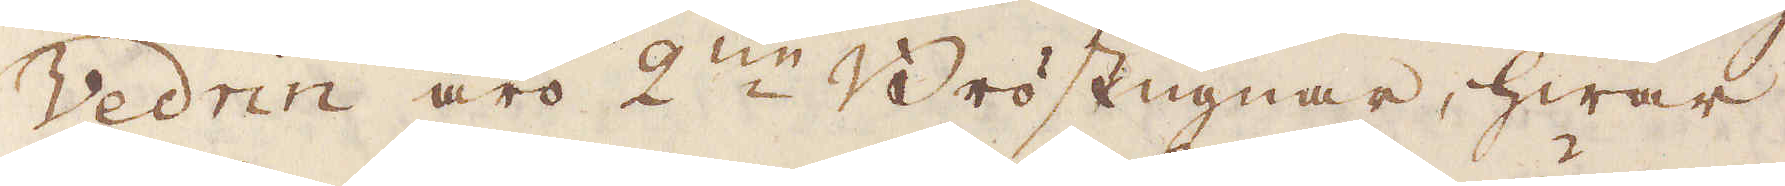Vedrin äro 2:ne Bröstugnar, hwar
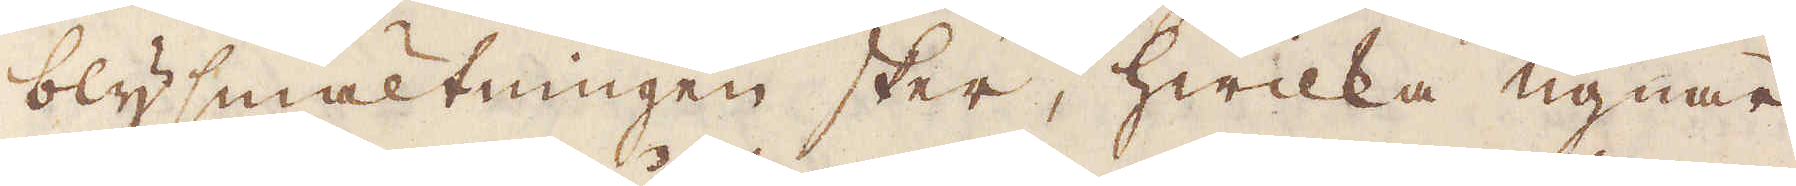blysmältningen sker, hwilka ugnar
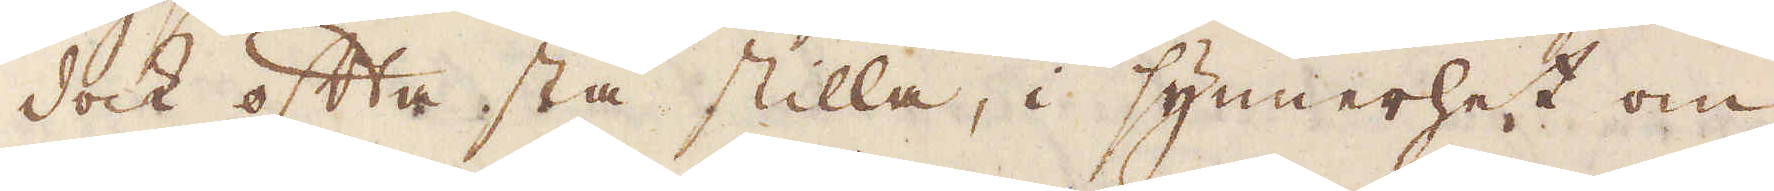dock ofta stå stilla, i synnerhet om
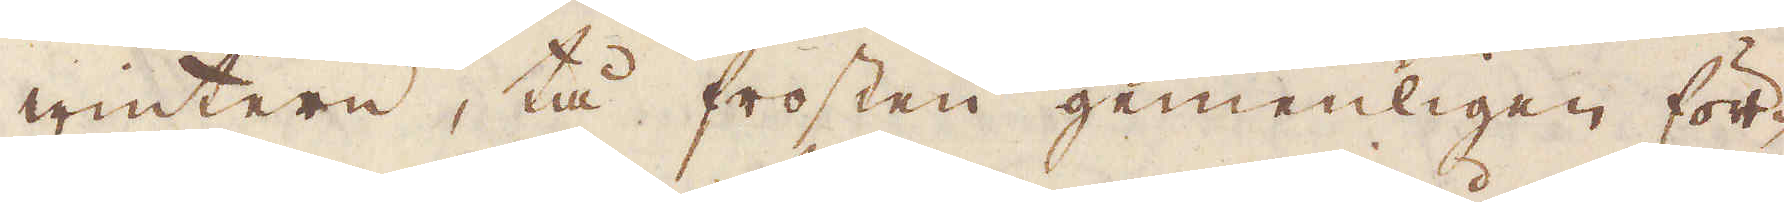wintern, tå frosten gemenligen för-
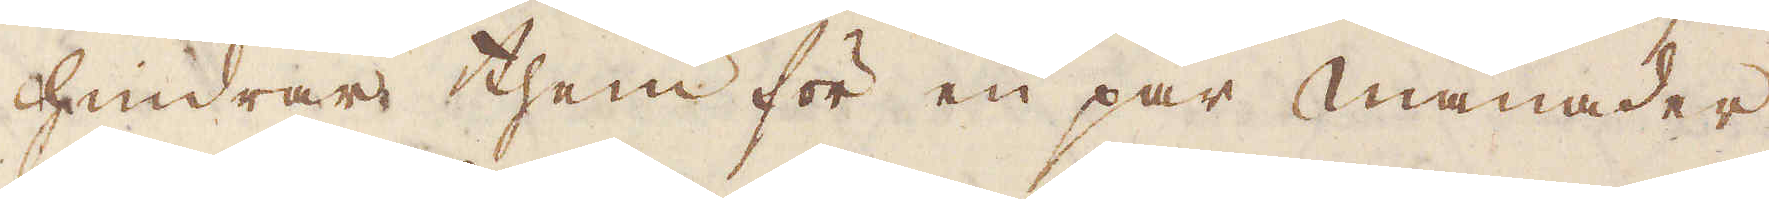hindrar them för en par månader
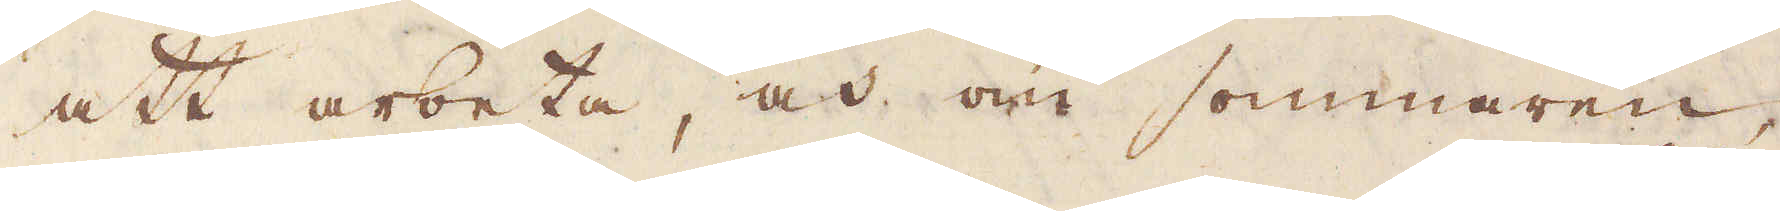att arbeta, och om sommaren,
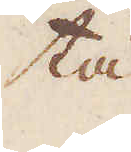tå
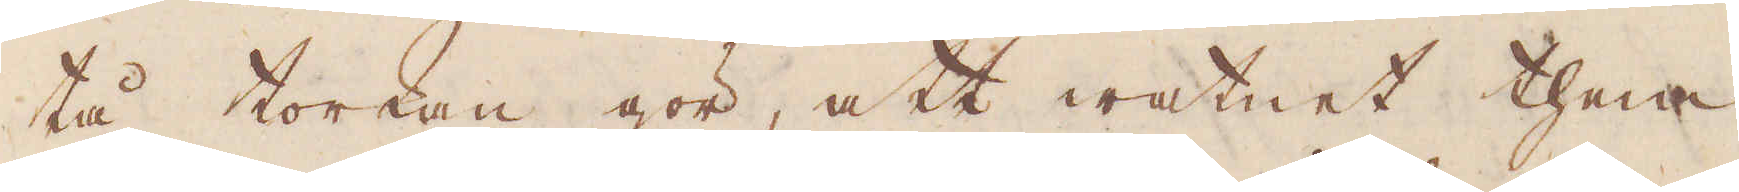tå torkan gör, att watnet them
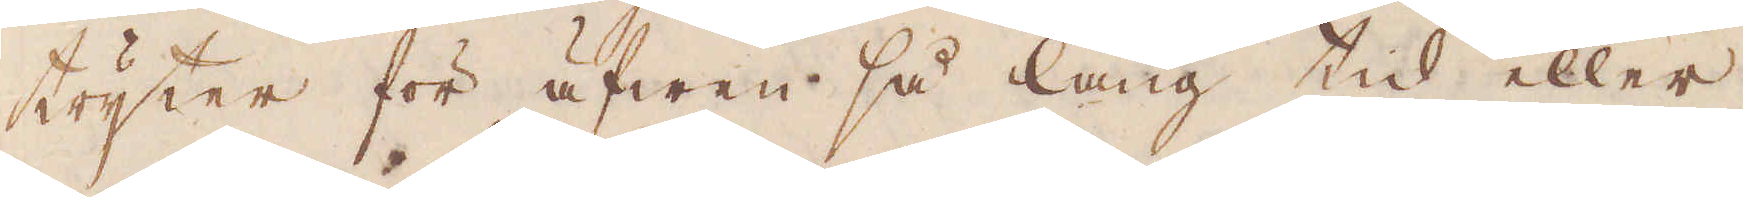tryter för äfwen så lång tid eller
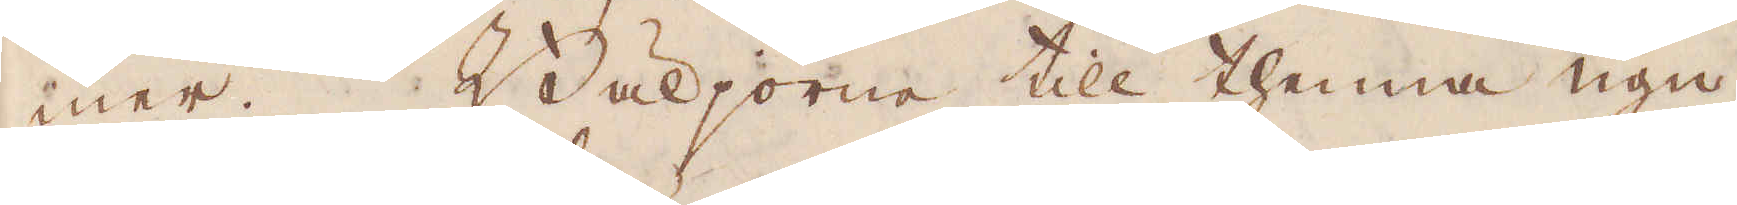mer. Böljorne till thenna ugn
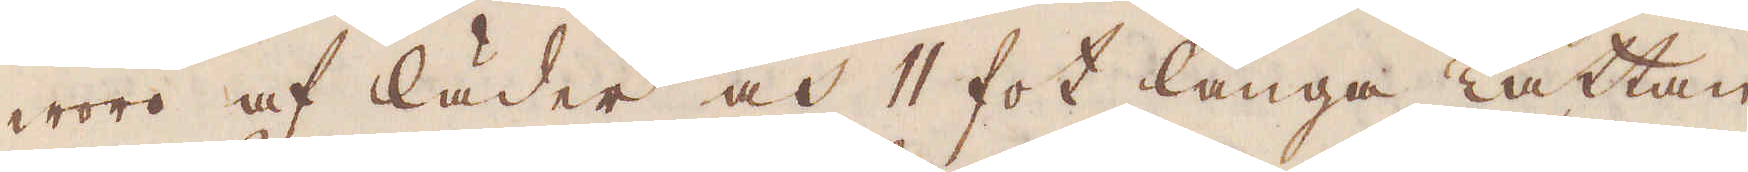woro af läder och 11 fot långa tättan
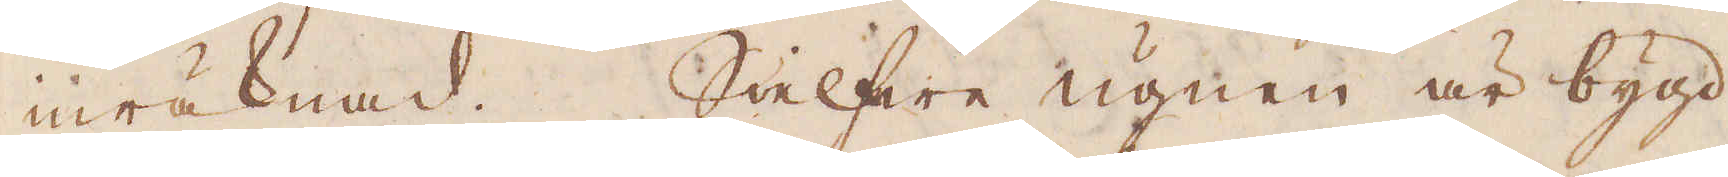inräknad. SIelfwa ugnen är bygd
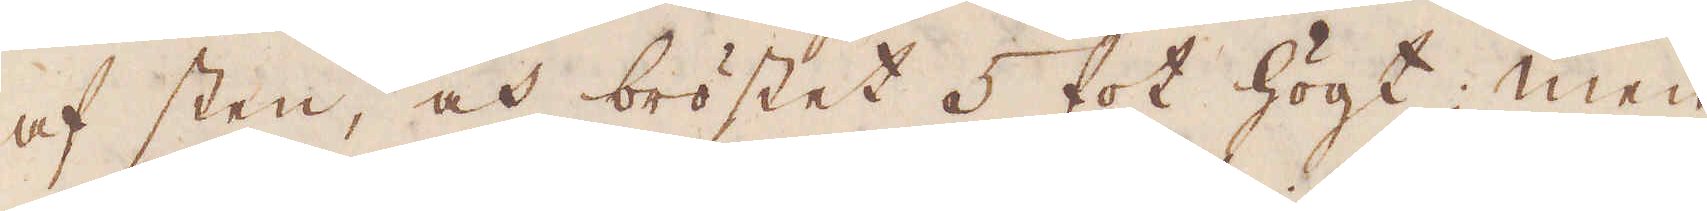af sten, och bröstet 5 fot högt; men
